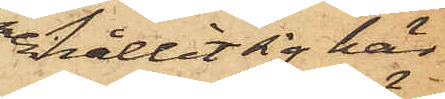hållit sig här
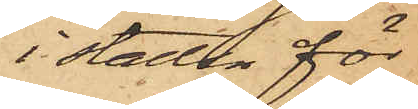i staden för
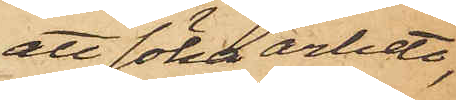att söka arbete,
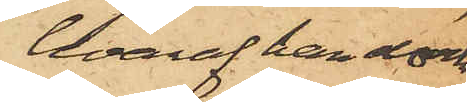hvaraf han dock
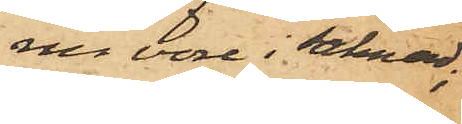nu vore i saknad;
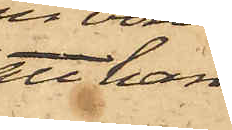att han
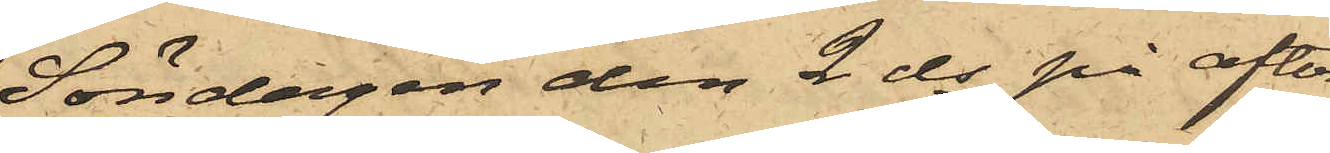Söndagen den 2 ds på afto¬
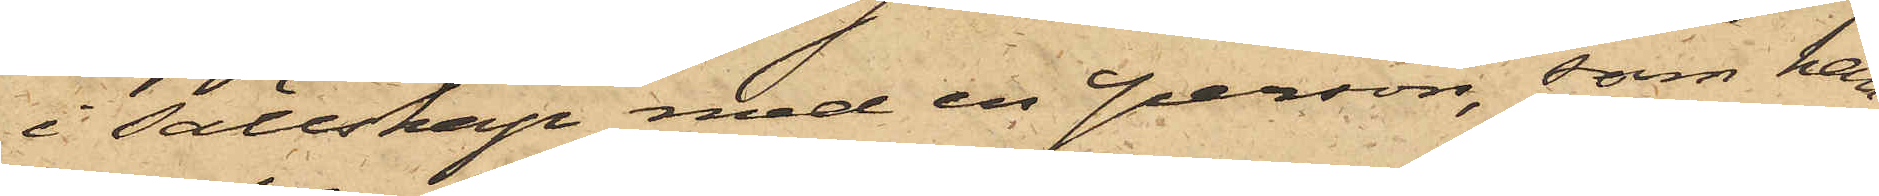i sällskap med en person, som han
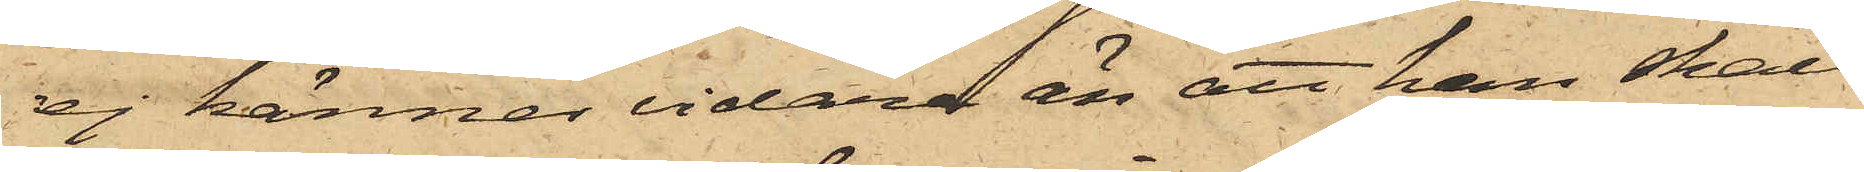ej känner vidare än att han skall
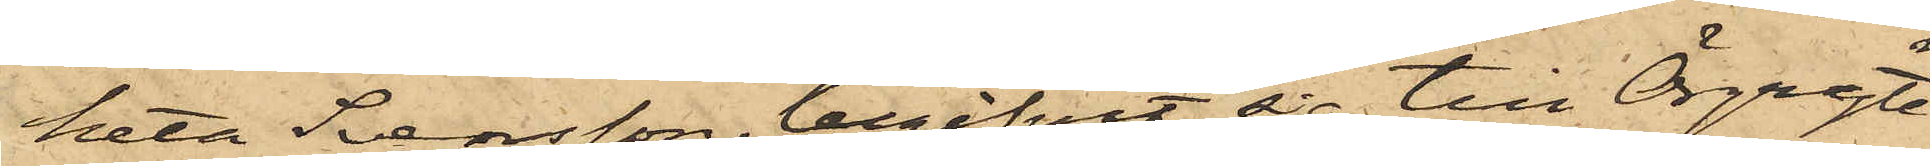heta Svensson, begifvit sig till Örgryte 
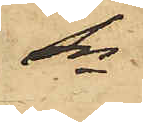Sn
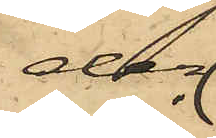der
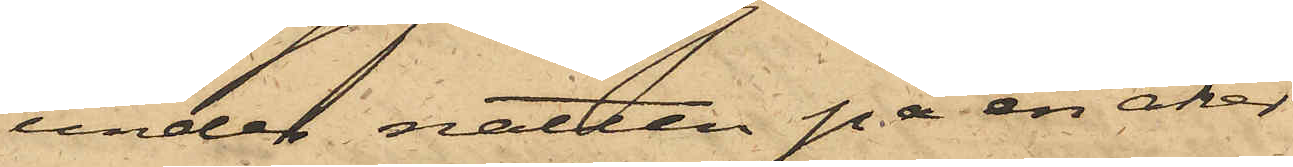under natten på en åker
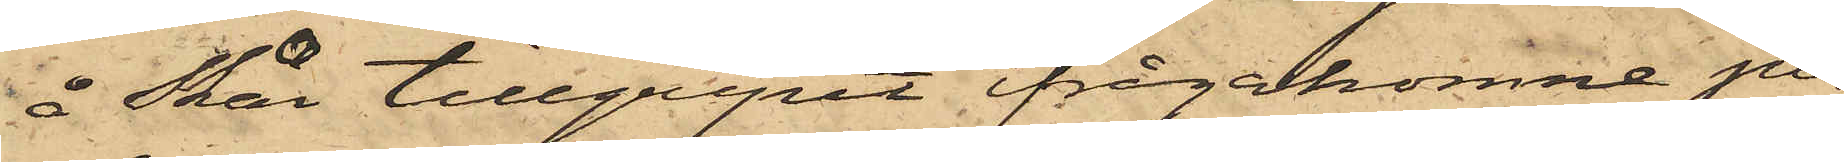å Skår tillgripit ifrågakomne po¬
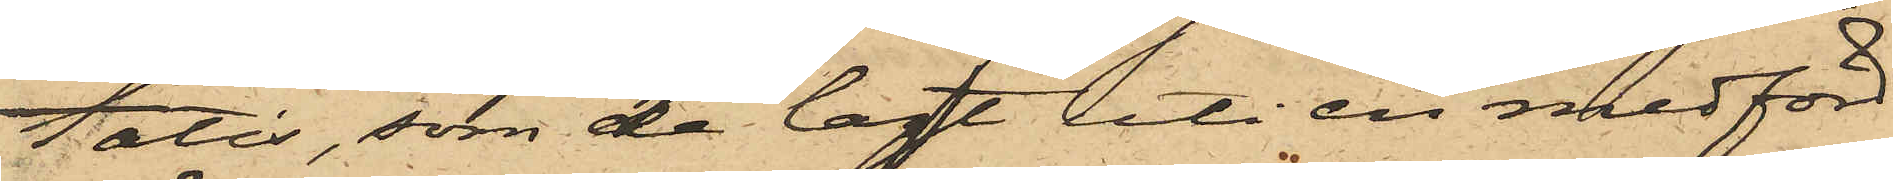tatis, som de lagt uti en medförd
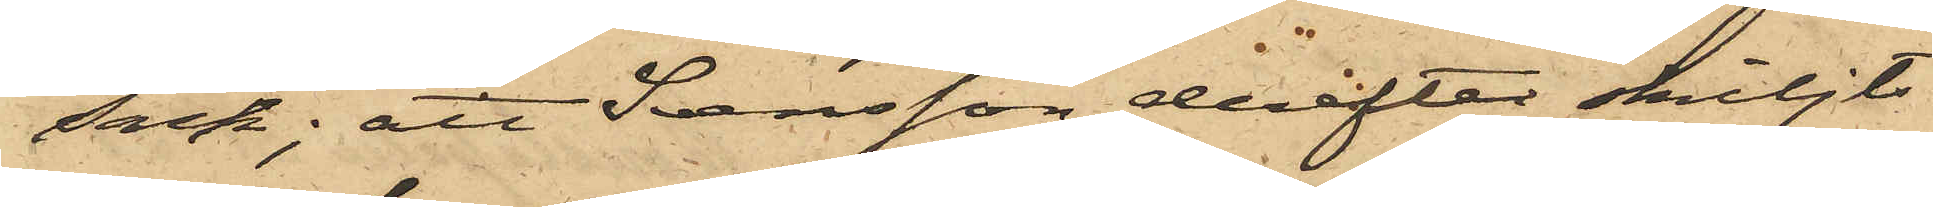säck; att Svensson derefter skiljts
